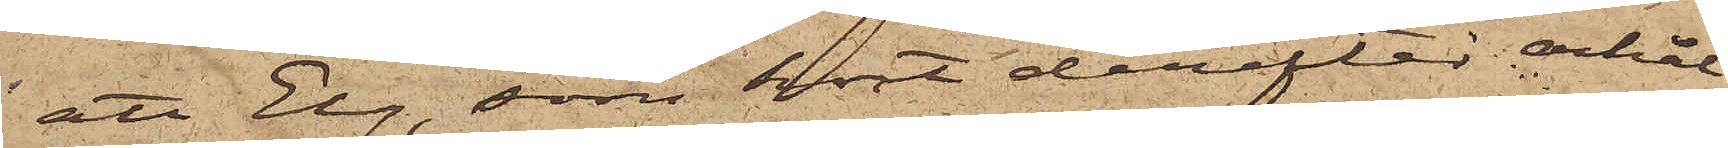att Elg, som kort derefter erhål¬
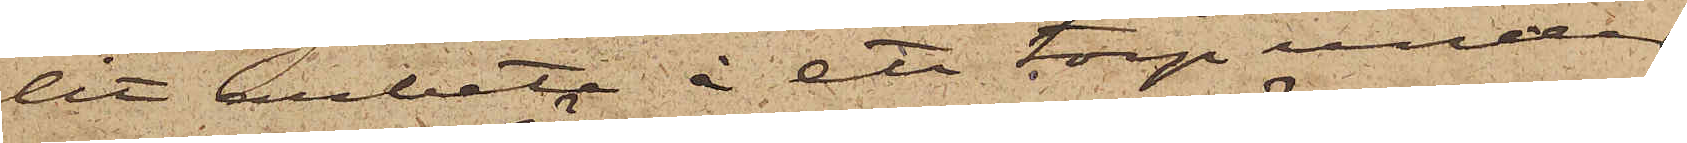lit arbete å ett torp under
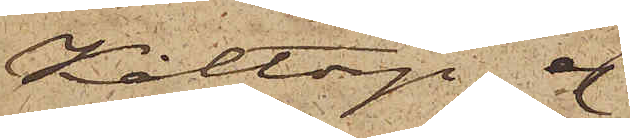Kålltorp, ej
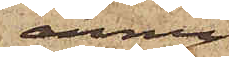ännu
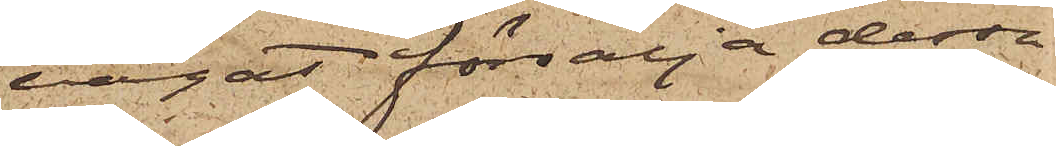vågat försälja dessa
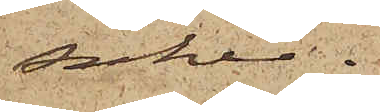saker.
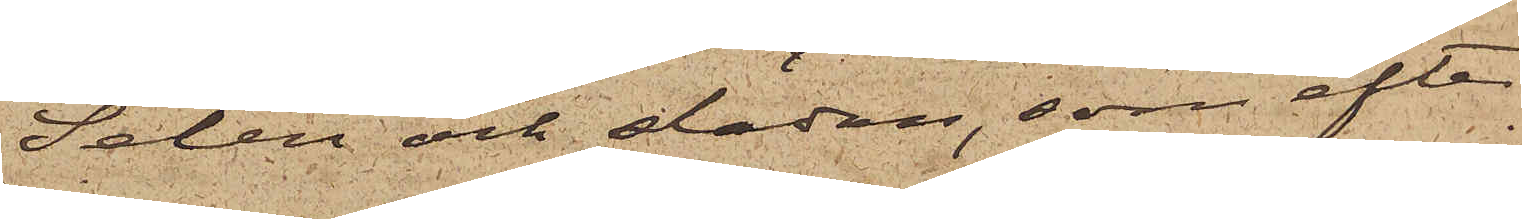Selen och släden, som efter
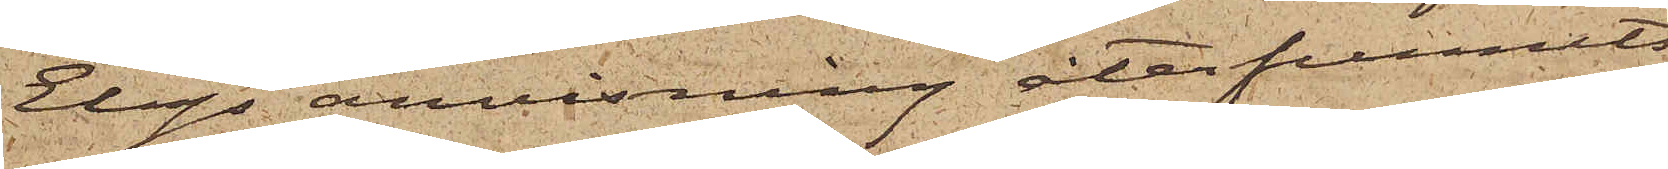Elgs anvisning återfunnits
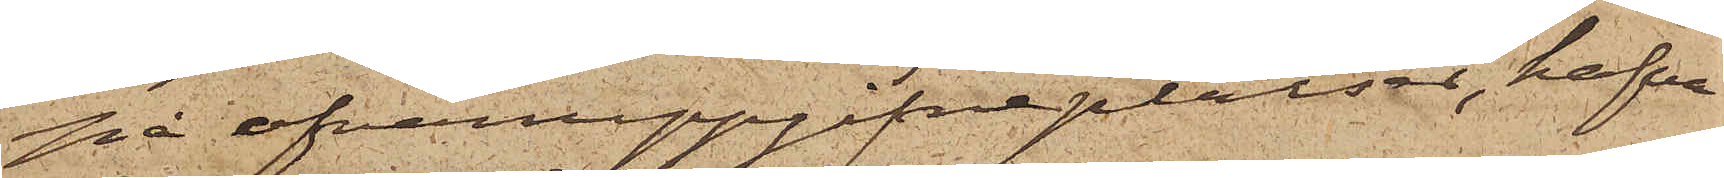på ofvanuppgifne platser, hafva
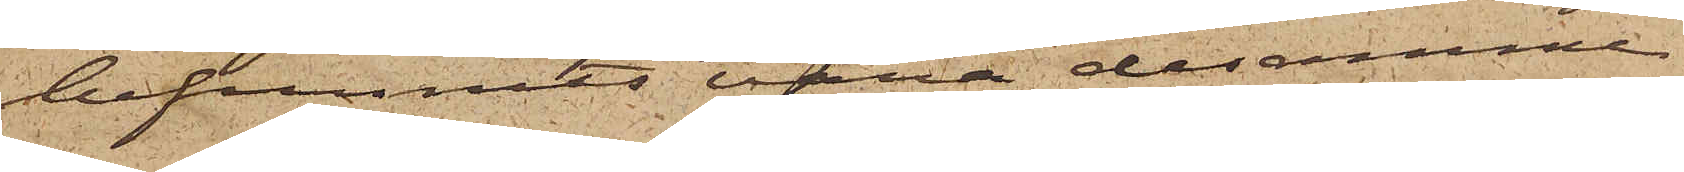befunnits vara desamme
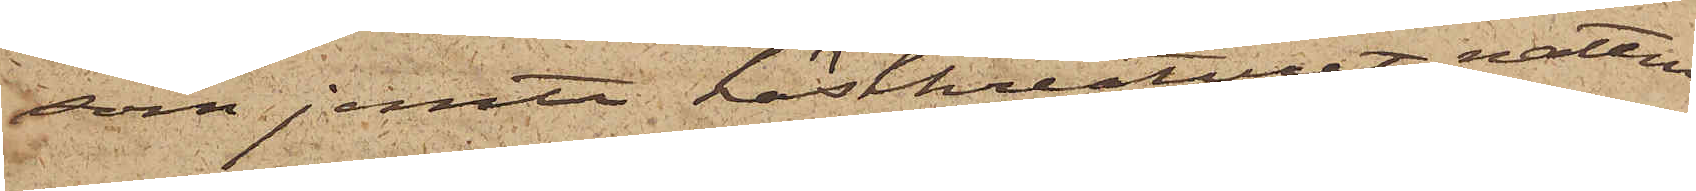som jemte hästkreaturet natten
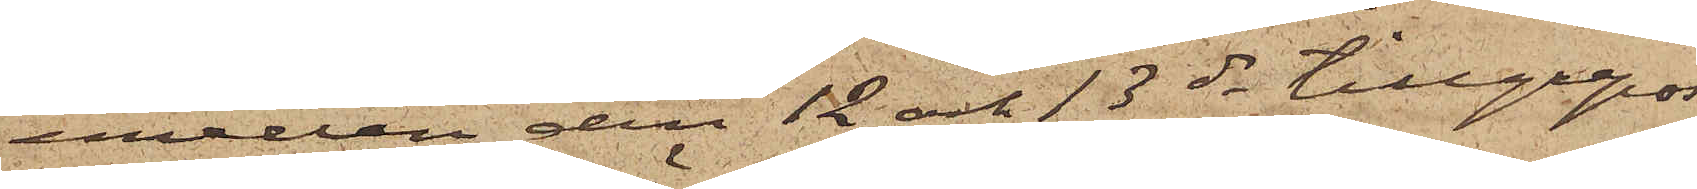emellan den 12 och 13 ds tillgreps
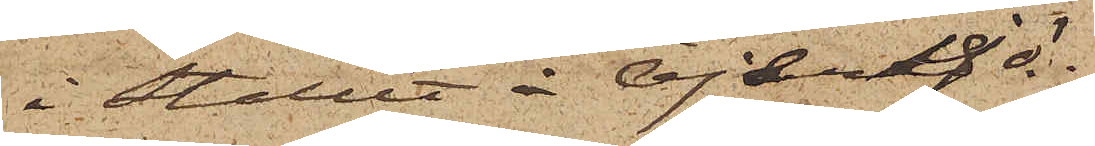i Stallet å Öjersjö.
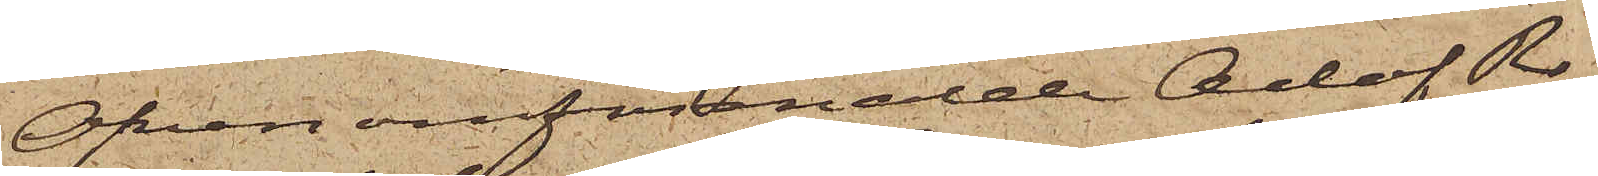Ofvanomförmälde Adof Ro¬
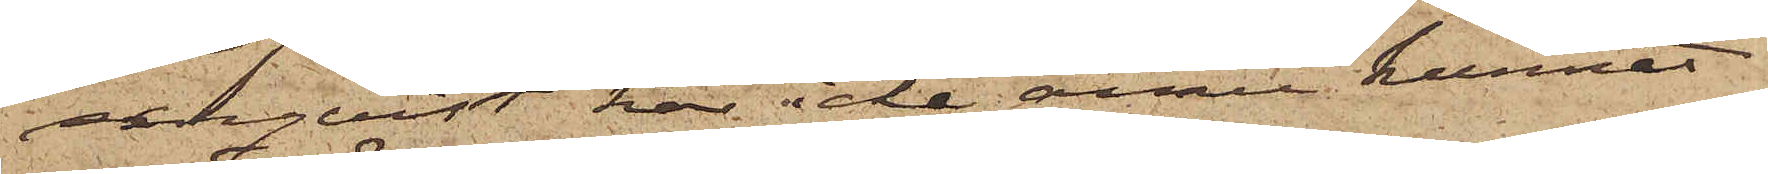senqvist, har icke ännu kunnat
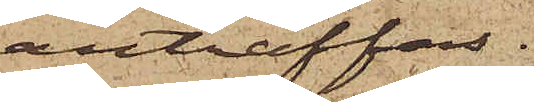anträffas.
